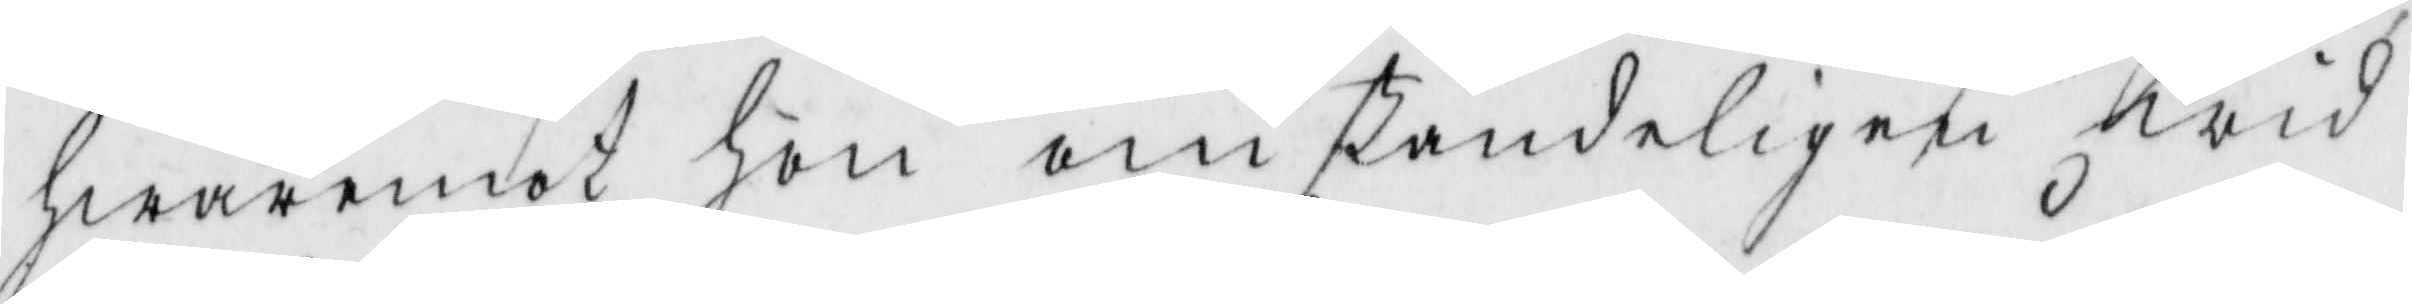hwaremot hon omständeligen wid
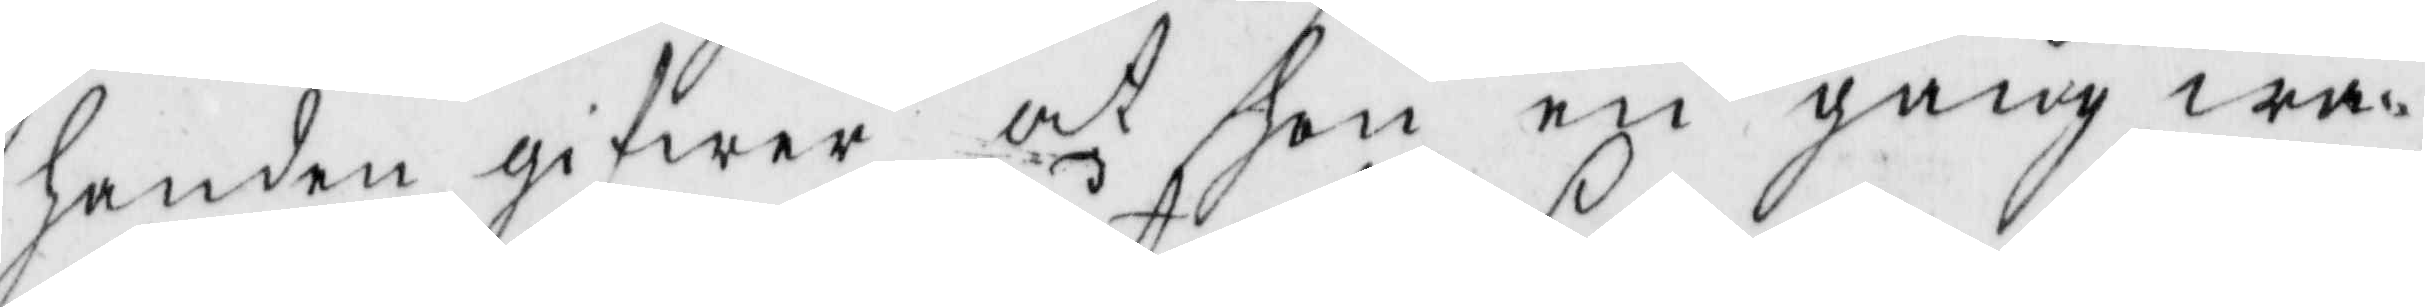handen gifwer at hon en gång wa¬
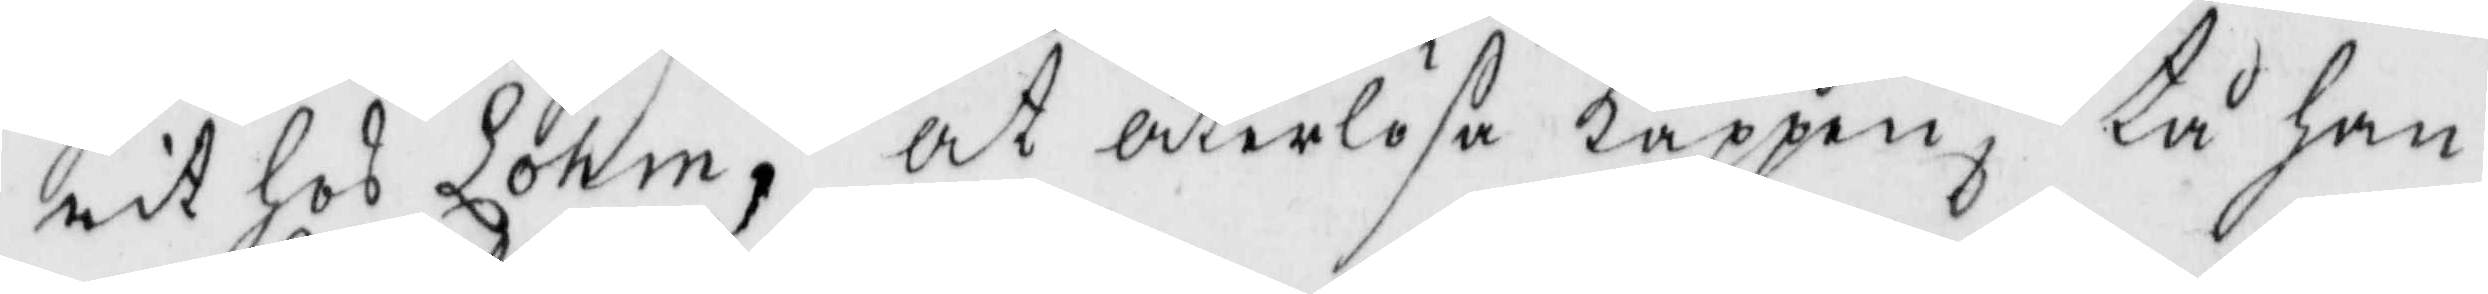rit hos Lohm, at återlösa Kappen, tå han
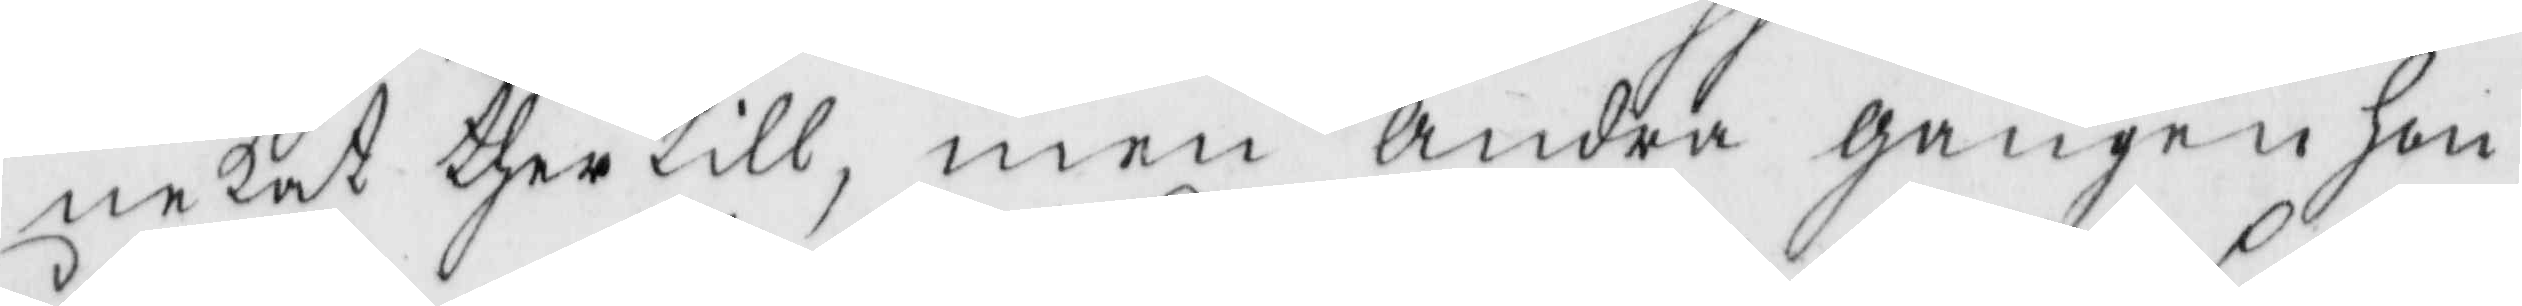nekat thertill, men andra gången hon
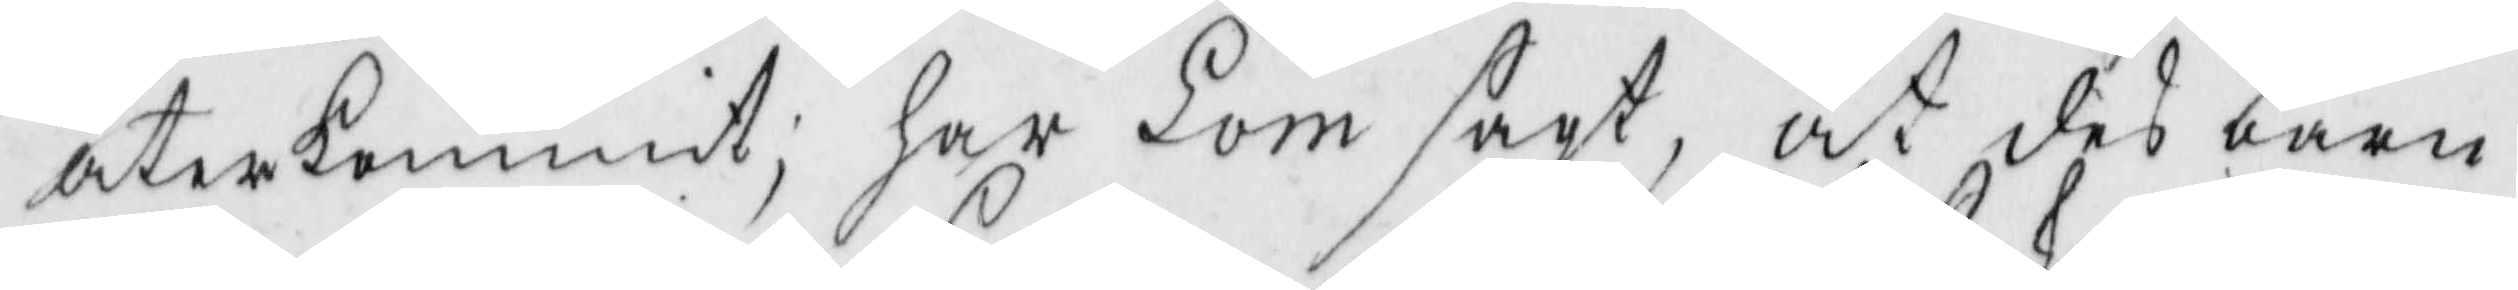återkommit; har Lom sagt, at des barn
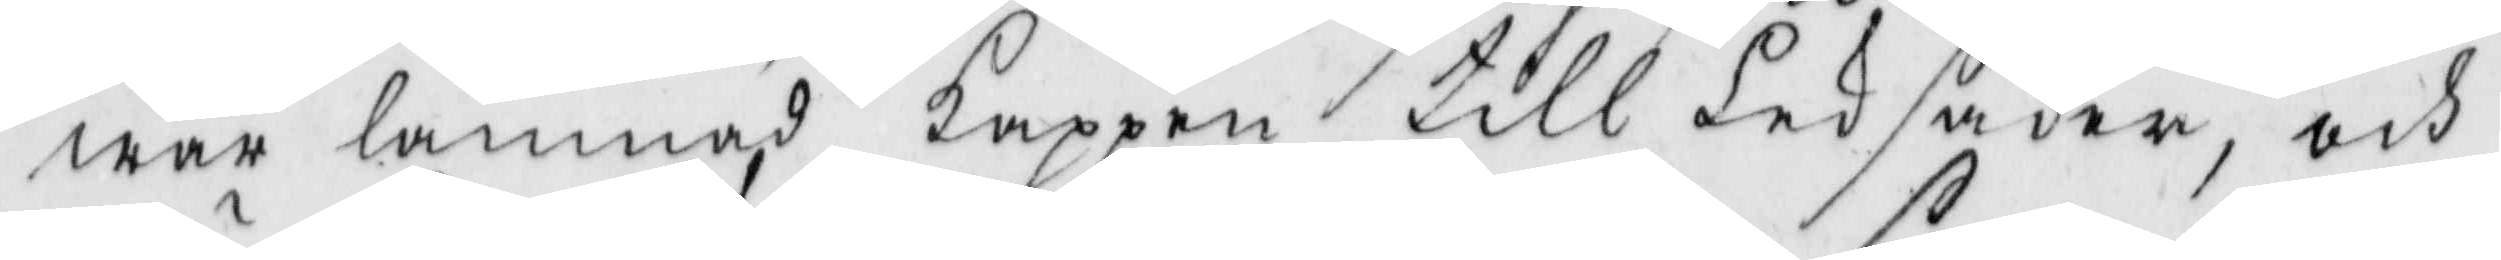war lämnat Kappen till leksaker, och
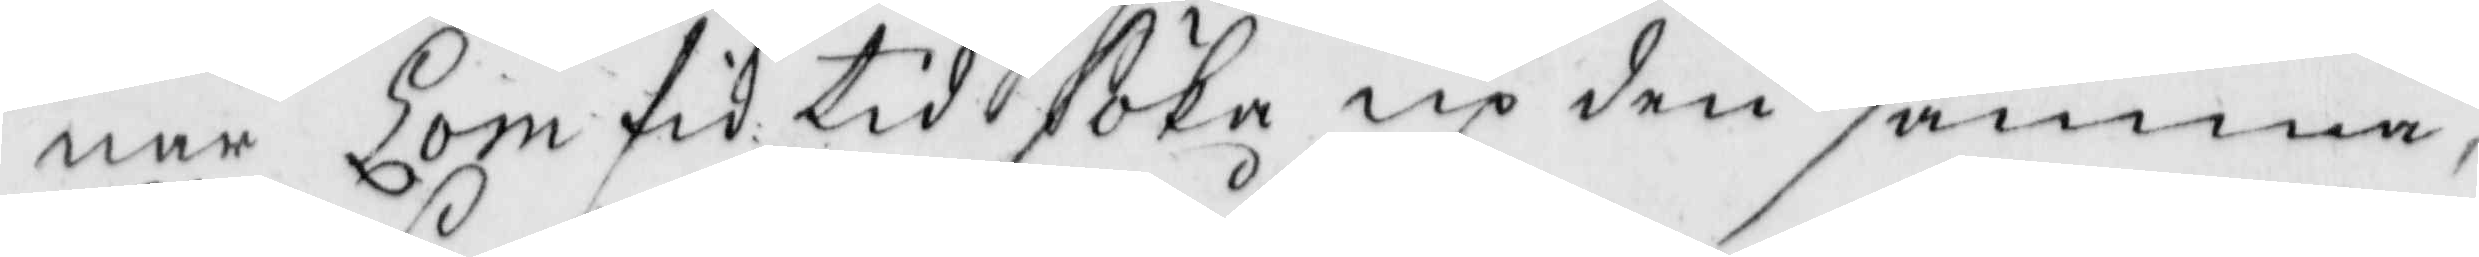när Lom fik tid söka up den samma,
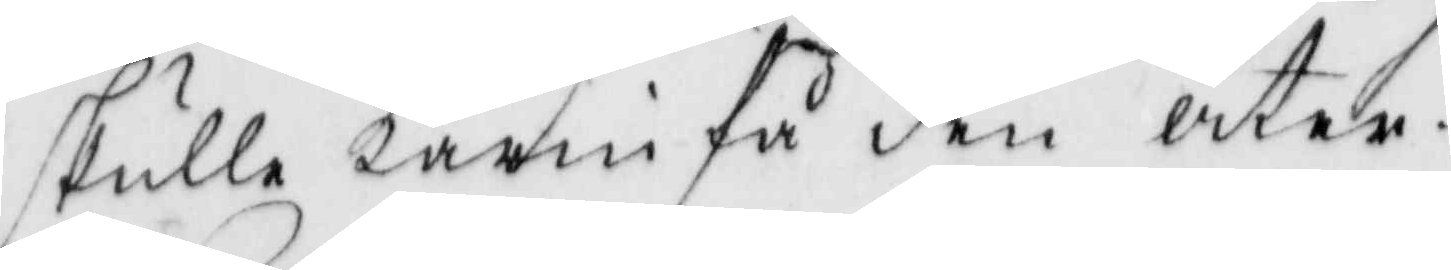skulle Karin få den åter.
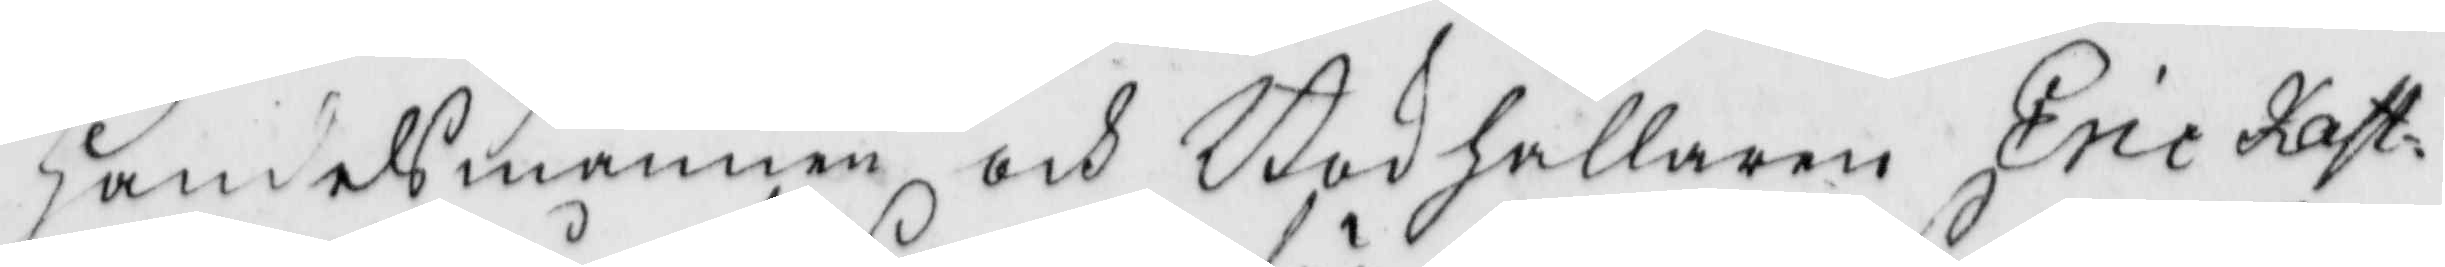Handelsmannen och Bokhållaren Eric kast¬
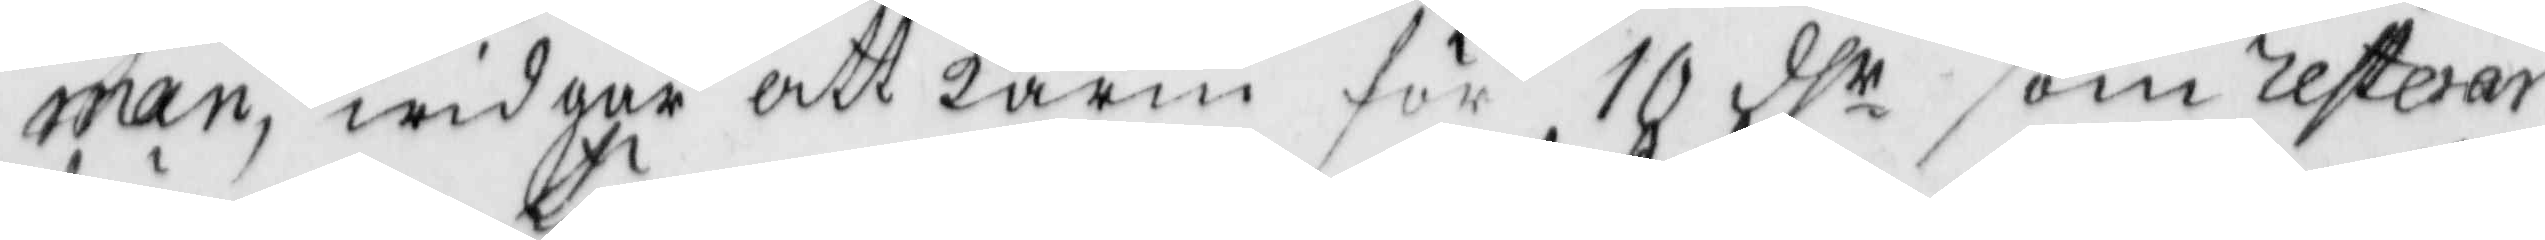man, widgår att karin för 10 dhr som resterar
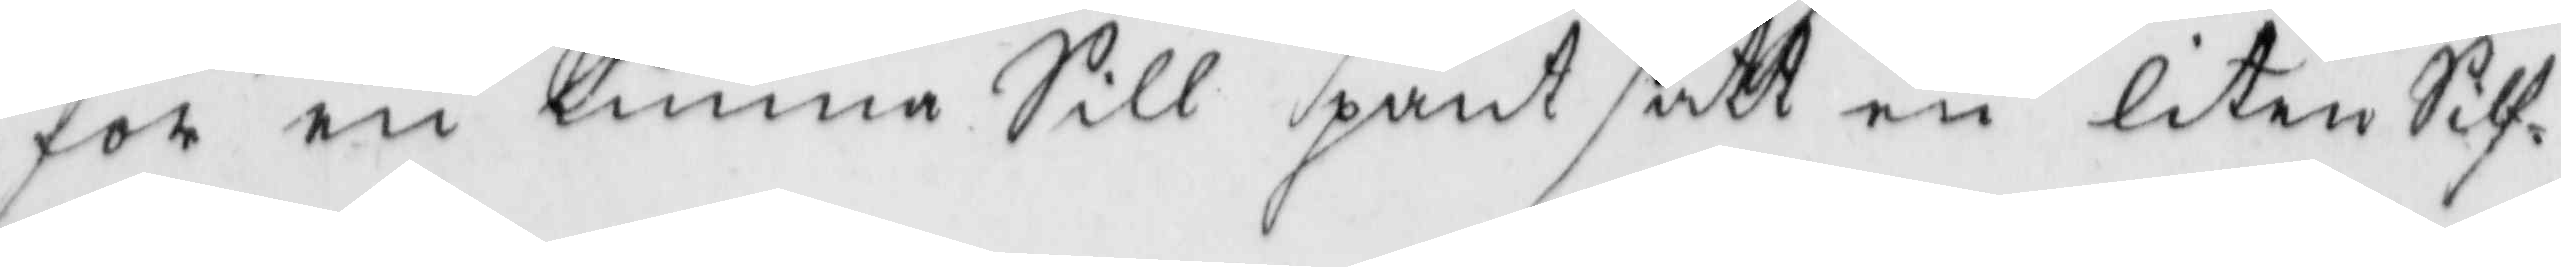för en tunna Sill pant satt en liten Silf¬
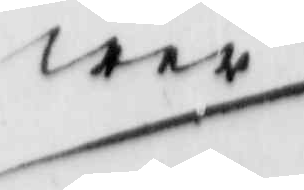wer
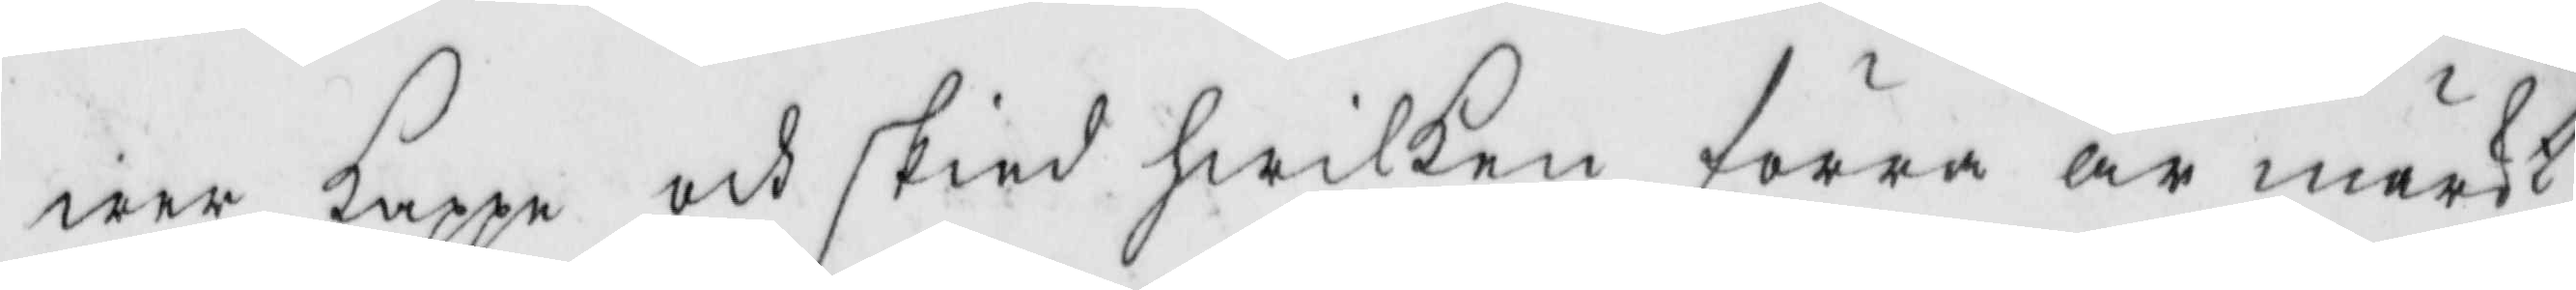wer Kappe och skied hwilken förra är märkt
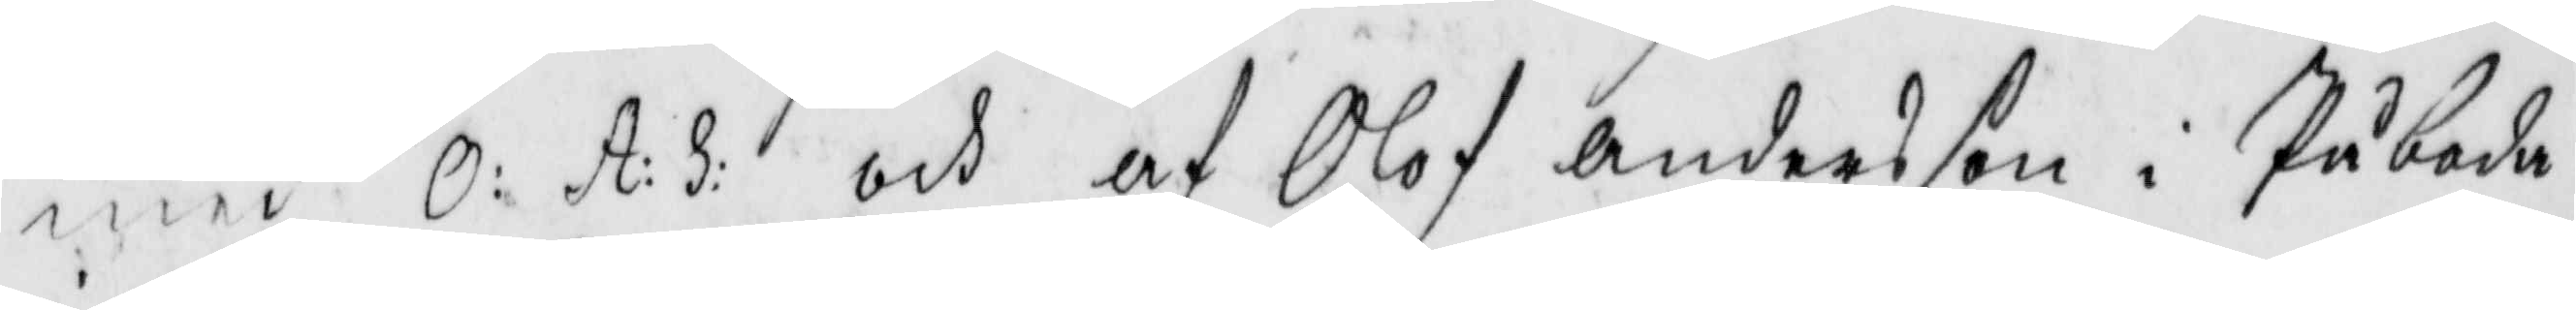med O: A: S: och af Olof Andersson i Påboda
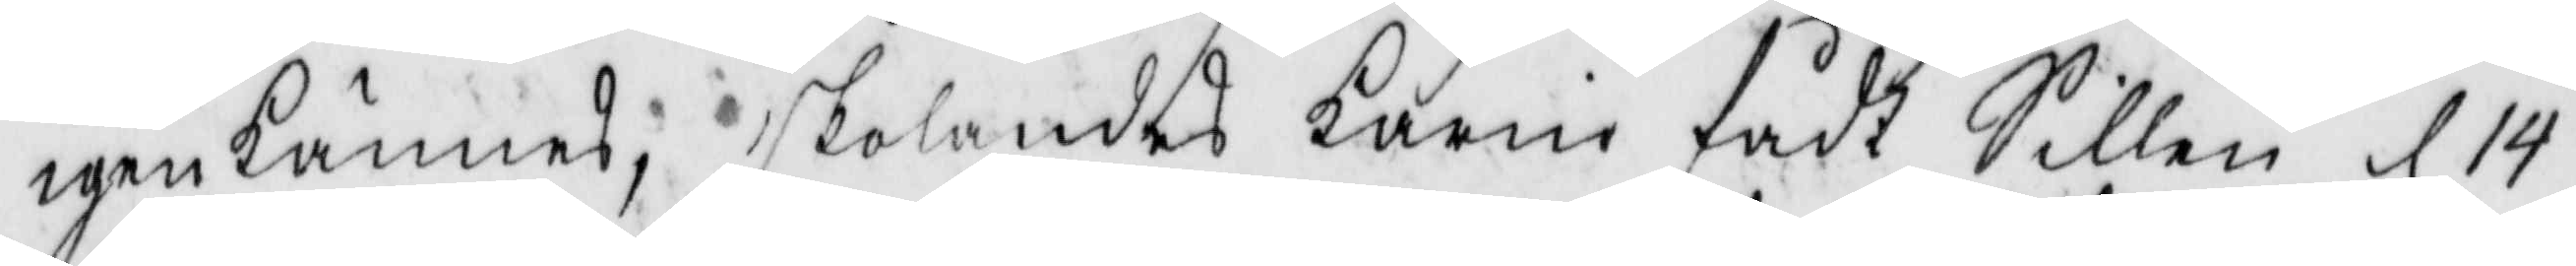igenkännes, skolandes karin fådt Sillen d 14
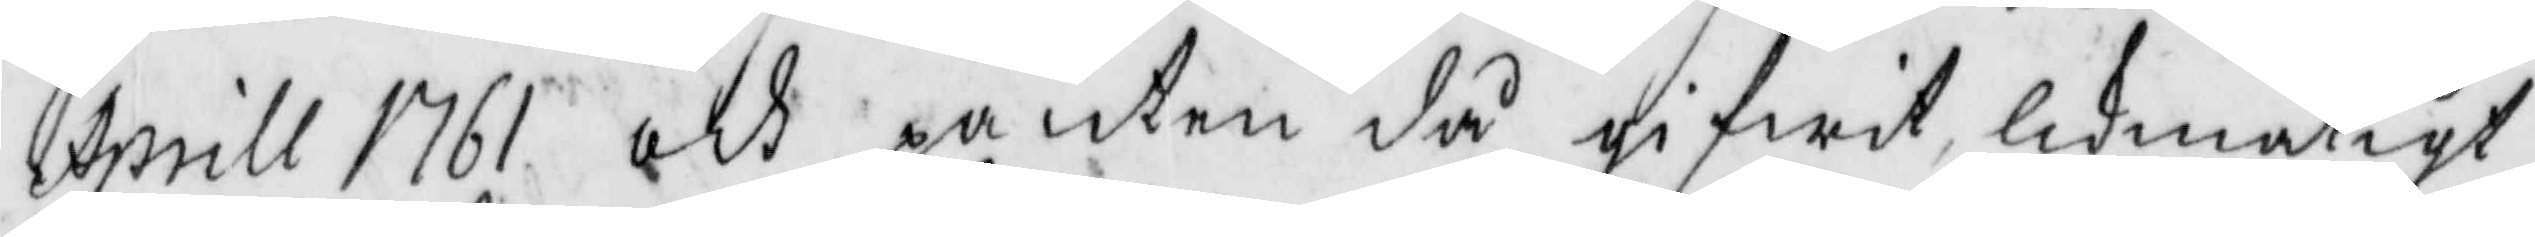Aprill 1761 och panten då gifwit likmätigt
